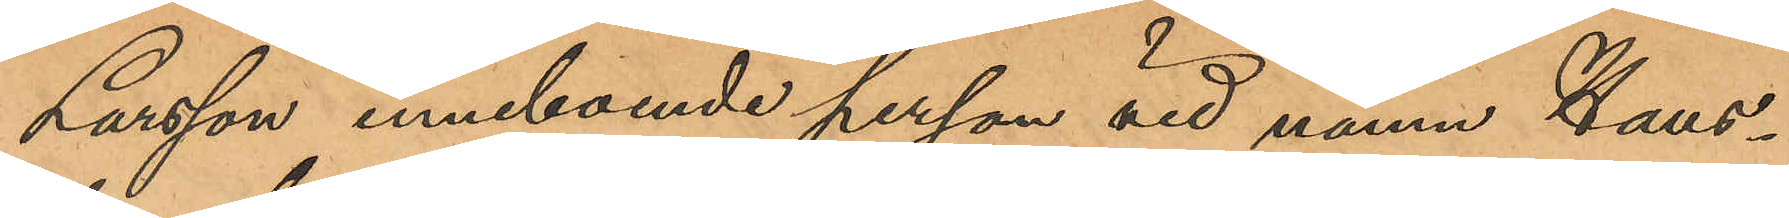Larsson inneboende person vid namn Hans¬
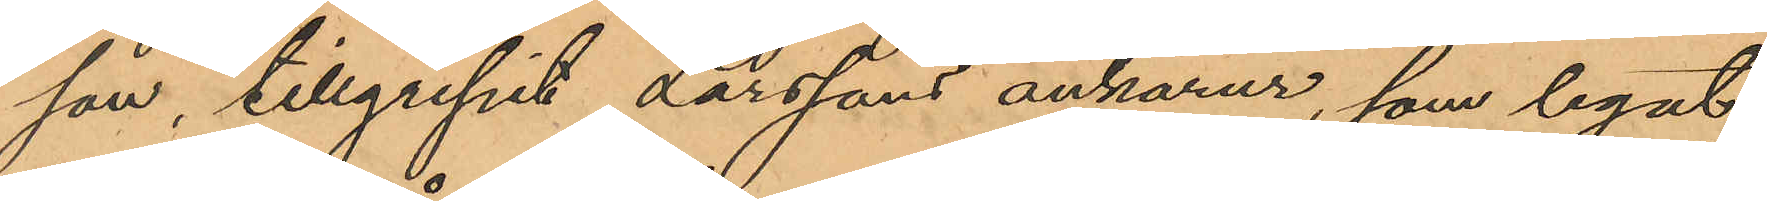son, tillgripit Larssons ankarur, som legat
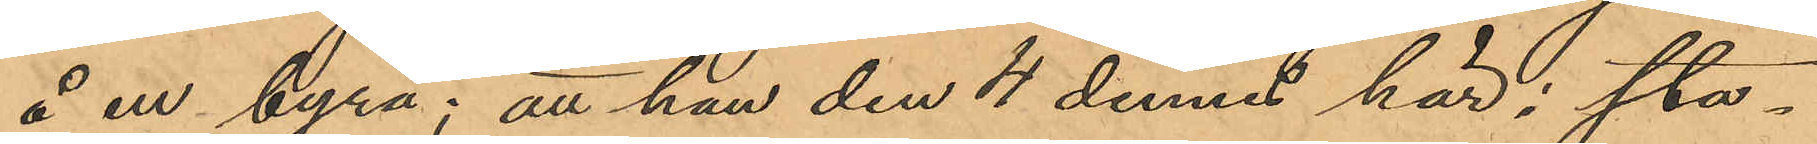å en byrå; att han den 4 dennes här i sta¬
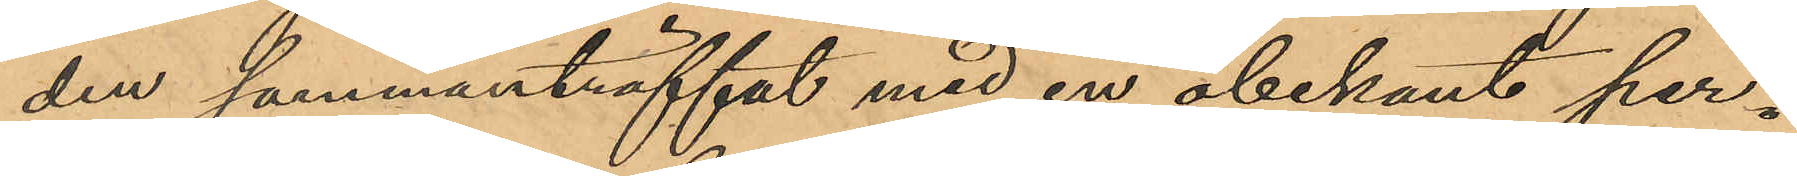den sammanträffat med en obekant per¬
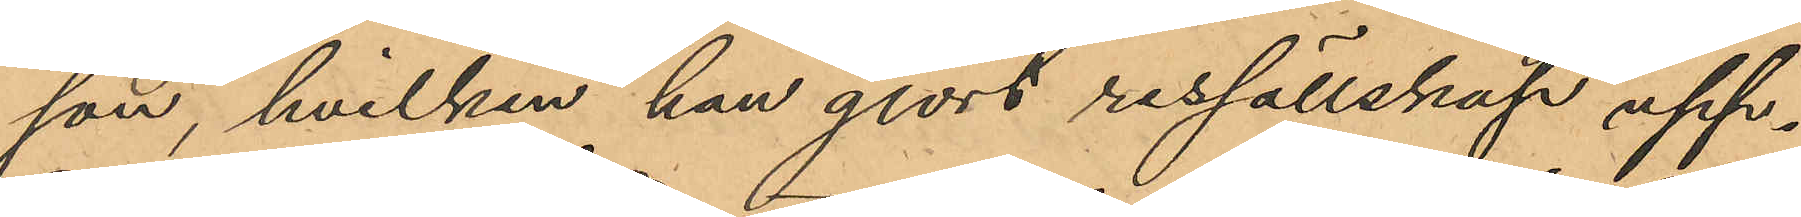son, hvilken han gjort ressällskap upp¬
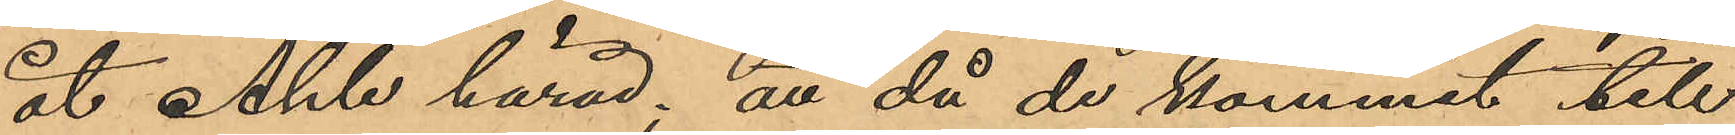åt Ahle härad; att då de kommit till
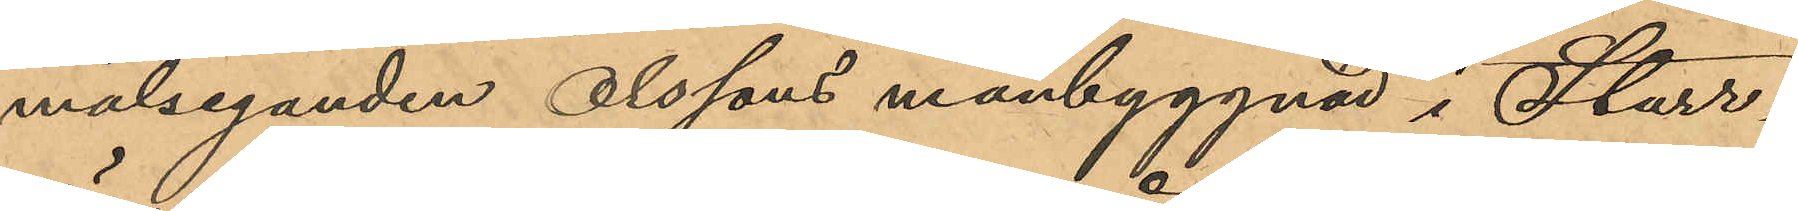målseganden Olssons manbyggnad i Starr¬
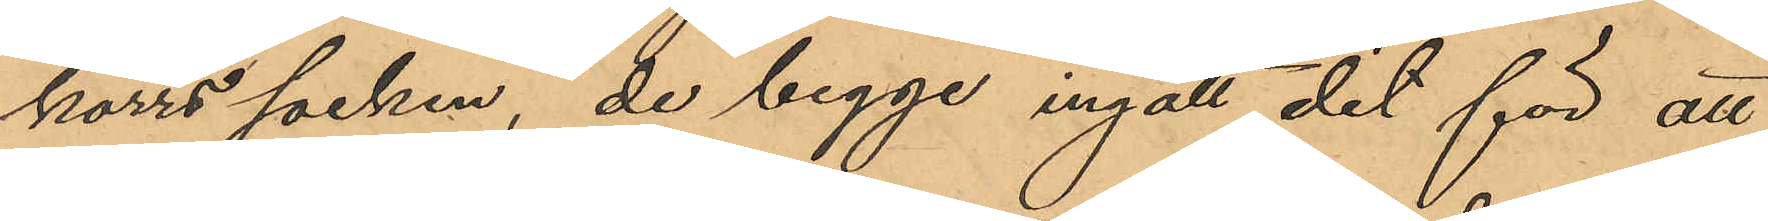kärrs socken, de begge ingått dit för att
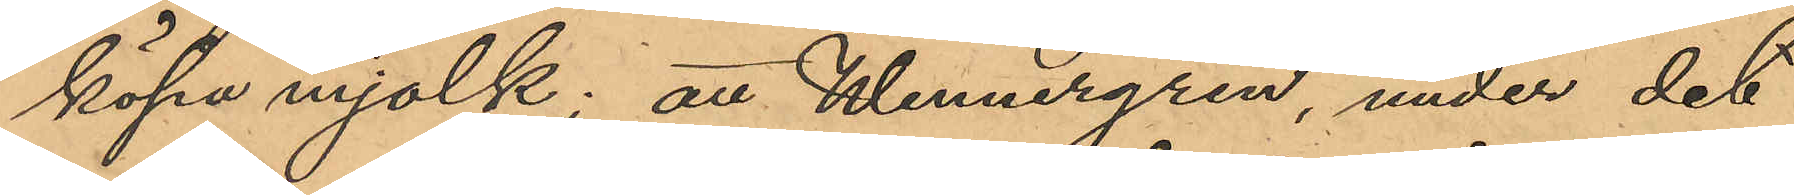köpa mjölk; att Wennergren, under det
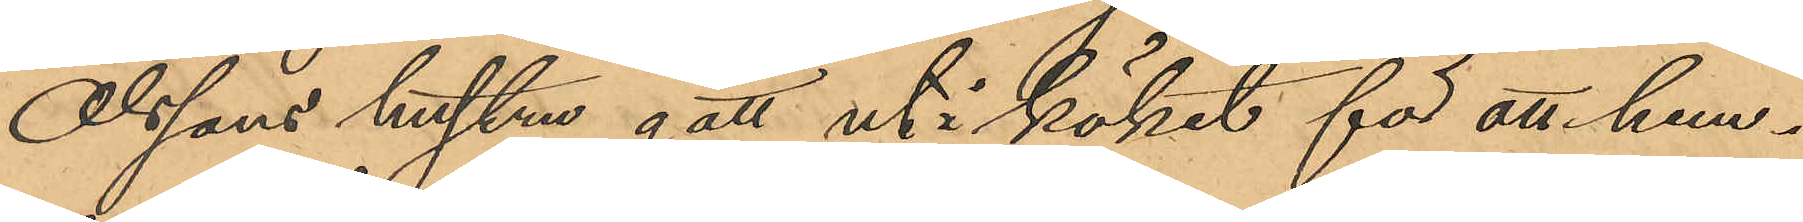Olssons hustru gått ut i köket för att hem¬
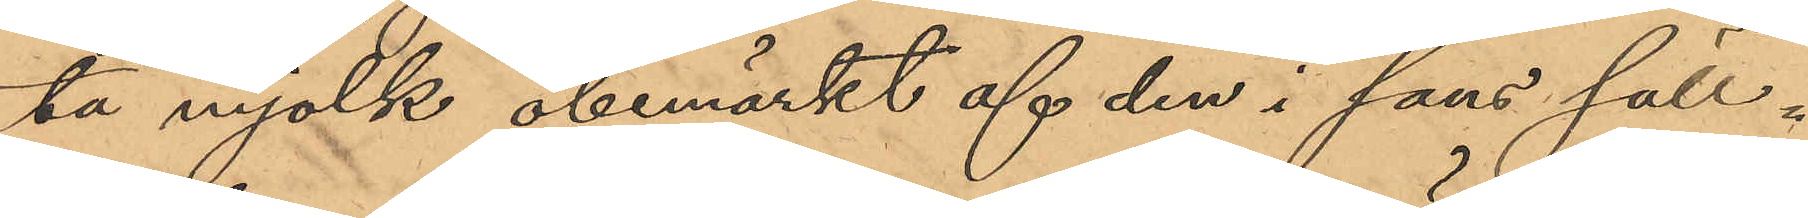ta mjölk obemärkt af den i hans säll¬
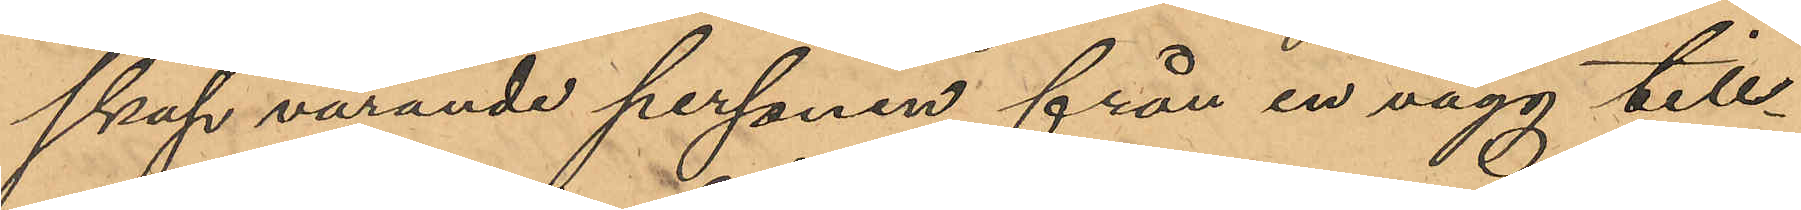skap varande personen från en vägg till¬
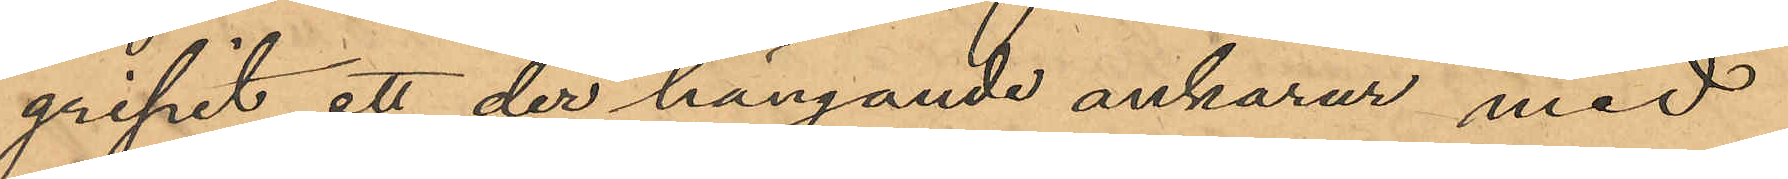gripit ett der hängande ankarur med
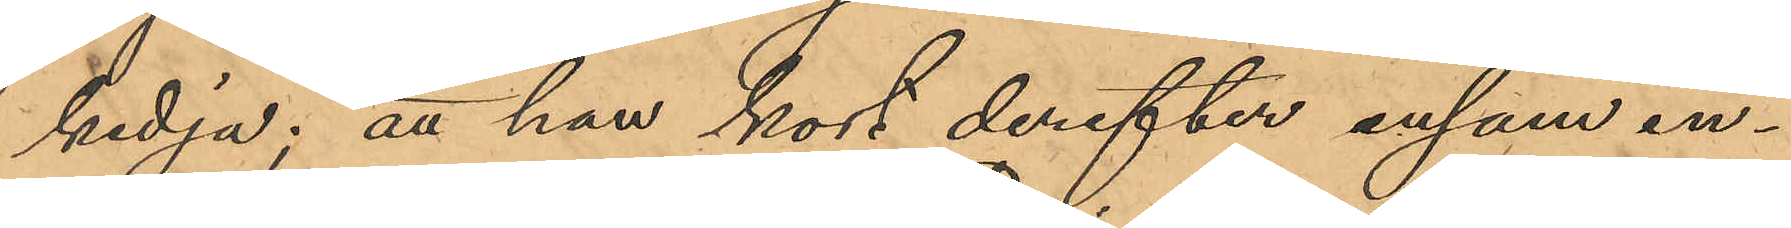kedja; att han kort derefter ensam in¬
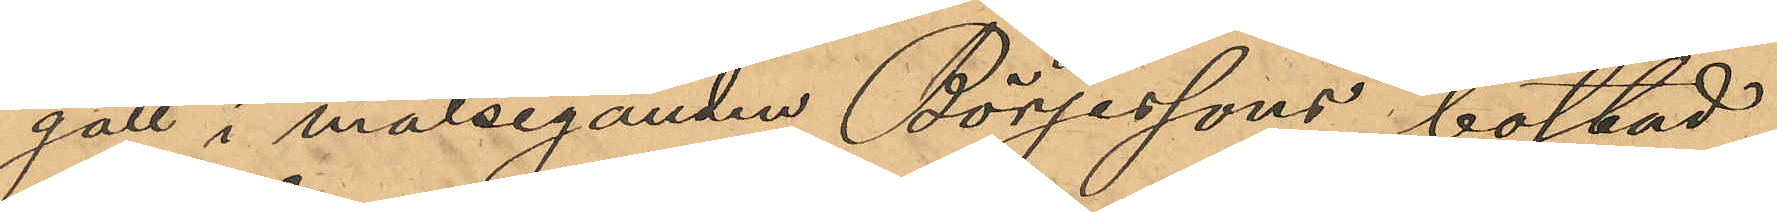gått i målseganden Börjessons bostad,
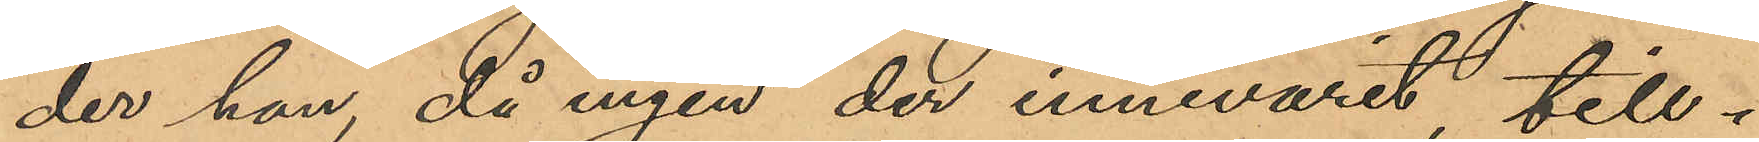der han, då ingen der innevarit, till¬
